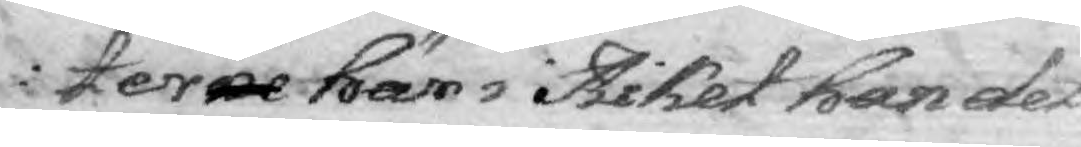terne här i Riket han det
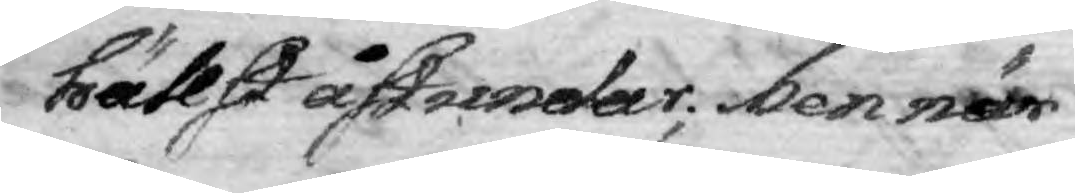hällst åstundar; Men när
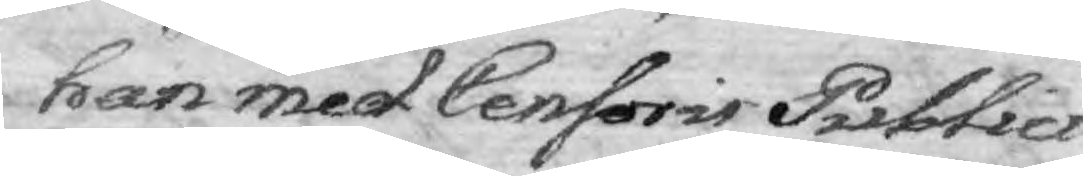han med Censoris Publici
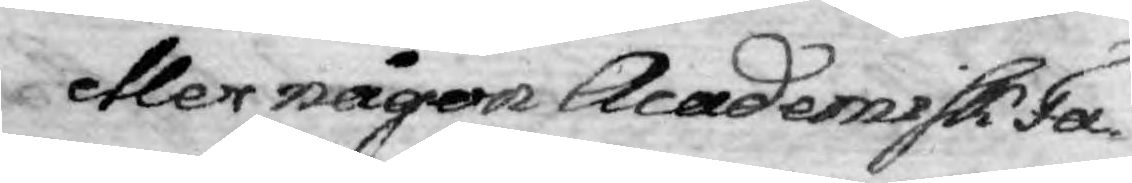eller någon Academisk Fa¬
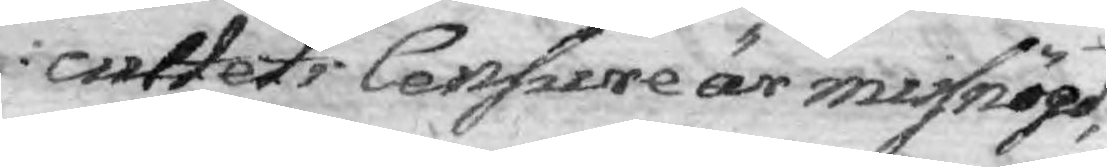cultetsCensure är missnöjd,
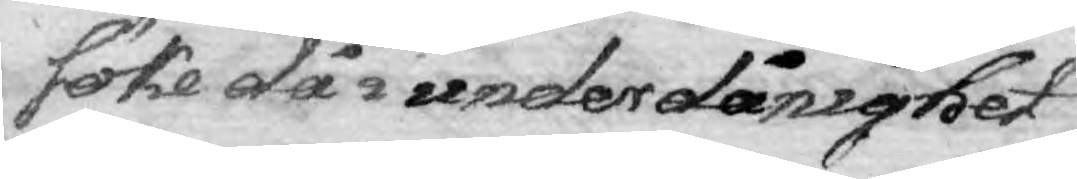söke då i underdånighet
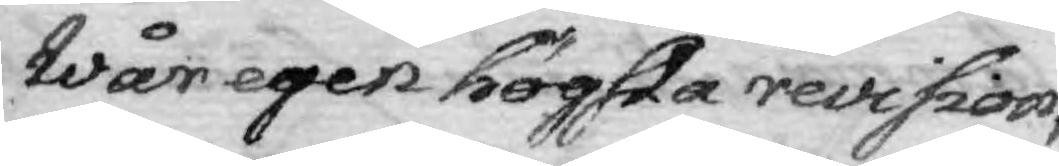Wär egen högsta revision, 
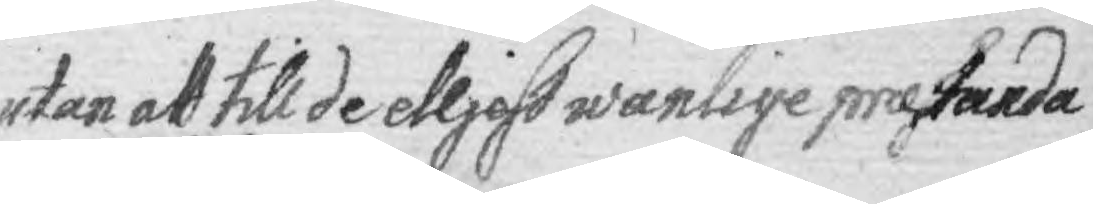utan att till de elljest wanlige praetanda
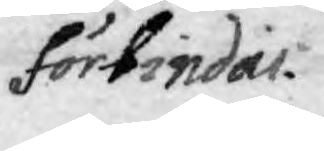förbindas.
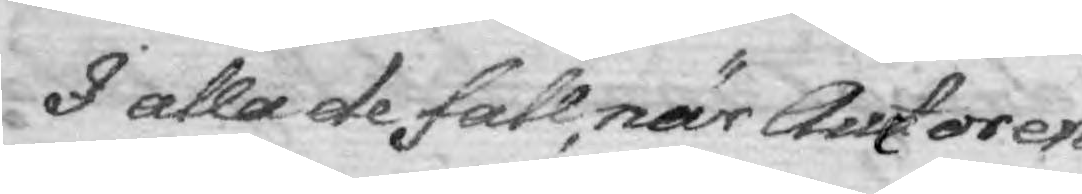I alla de fall när Auctorer
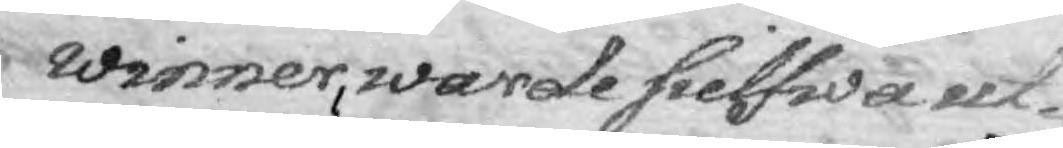winner, warde sielfwa ut¬
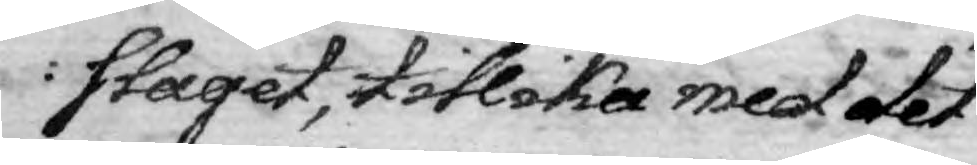slaget, tillika med det
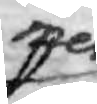mer
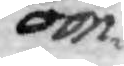om¬
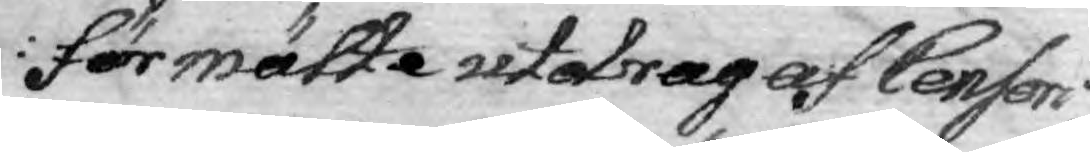förmälte utdrag af Censori
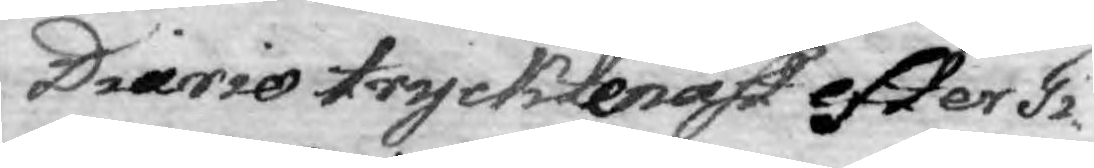Diario tryckte näst efter Ti¬
